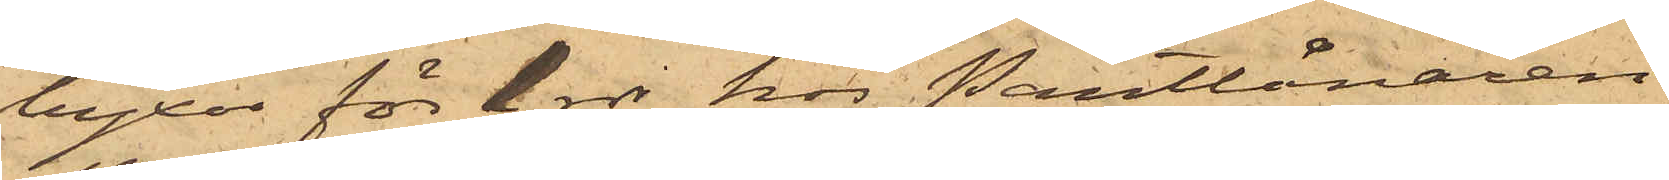byxor för 1 rdr hos Pantlånaren
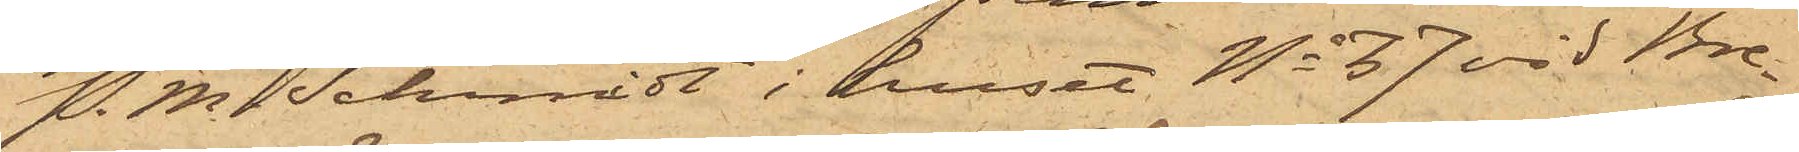P. M. Schmidt i huset No 37 vid Bre¬
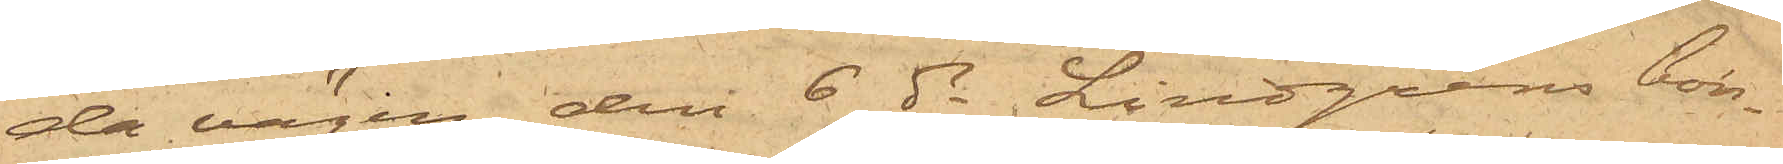da vägen, den 6 ds Lindgrens bon¬
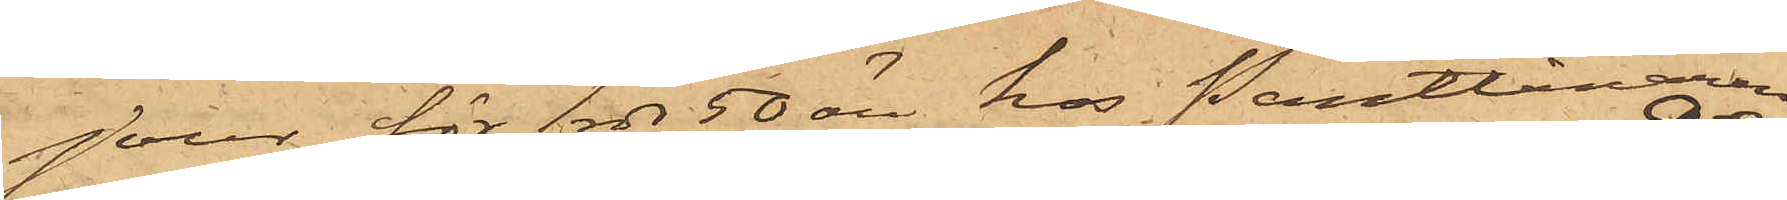jour för 1 rdr 50 öre hos Pantlånaren
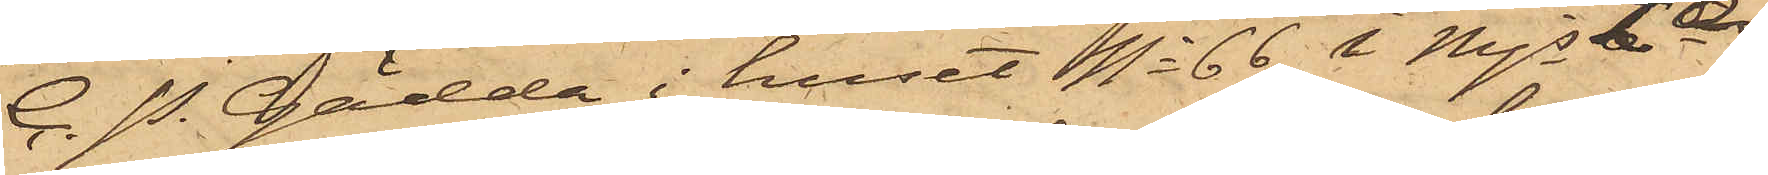C. P. Gädda i huset No 66 i Mjs 2a 
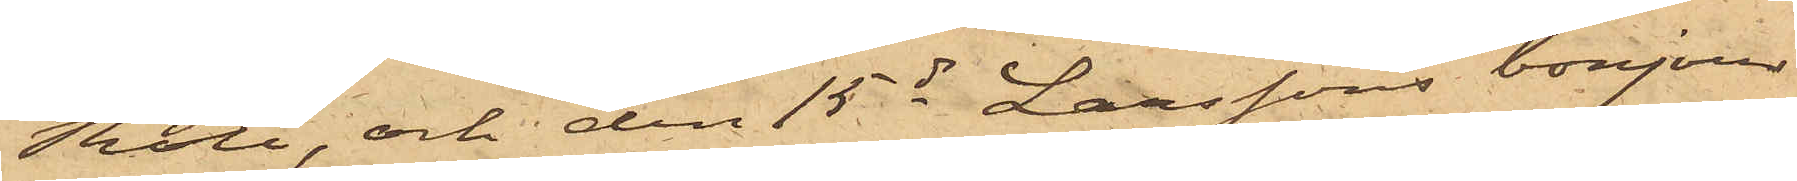Rote, och den 15 ds Larssons bonjour
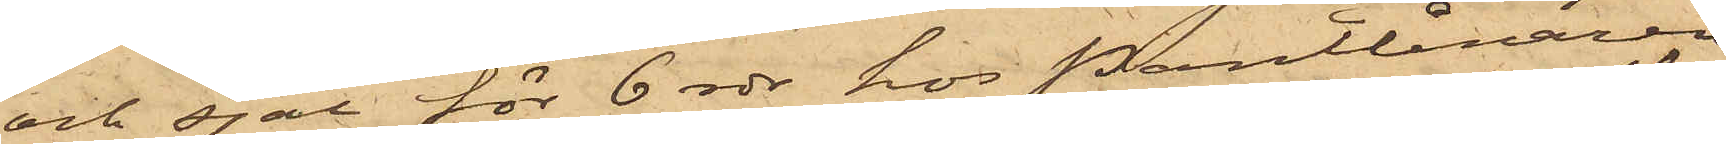och sjal för 6 rdr hos Pantlånaren
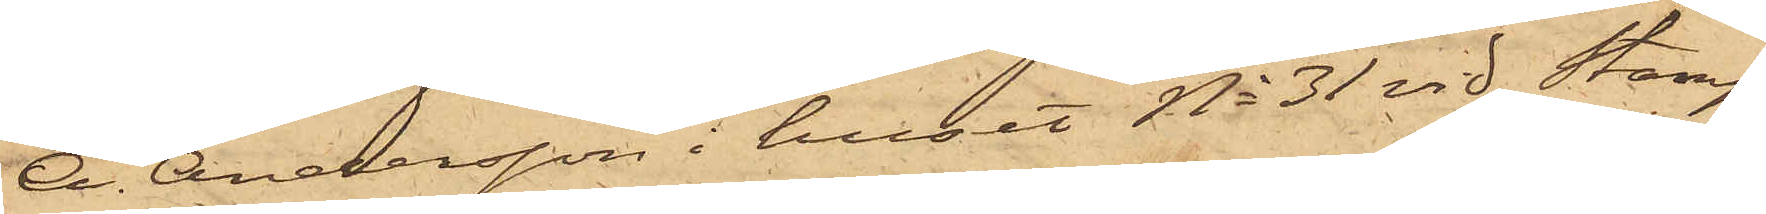A. Andersson i huset No 31 vid Stamp¬
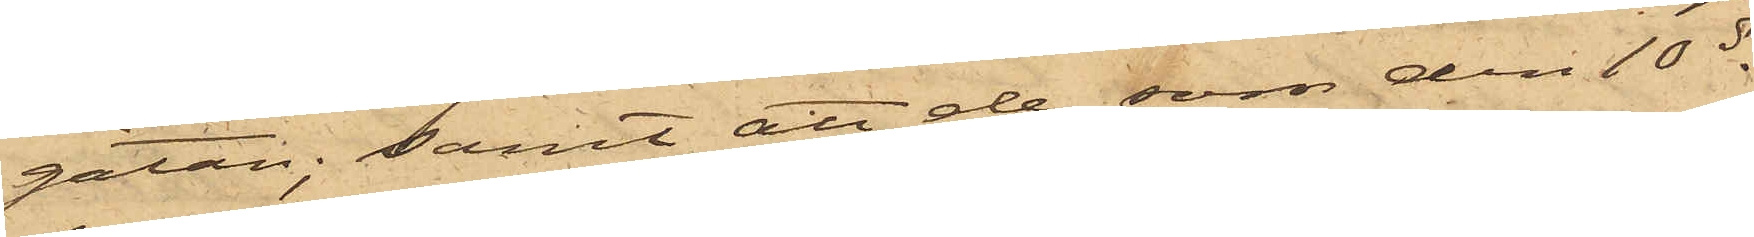gatan; samt att de, som den 10 ds
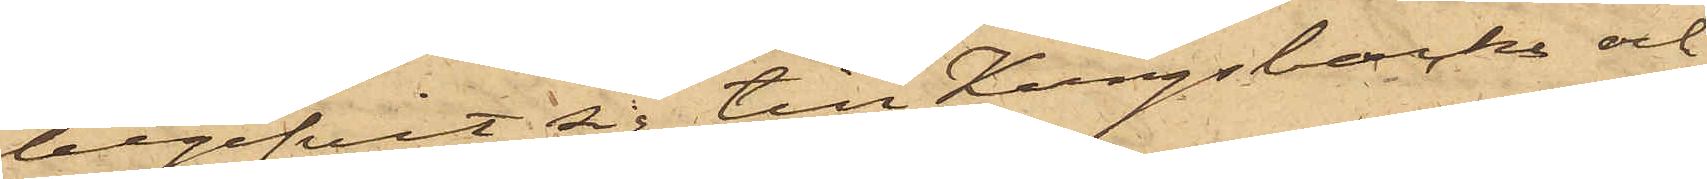begifvit sig till Kungsbacka och
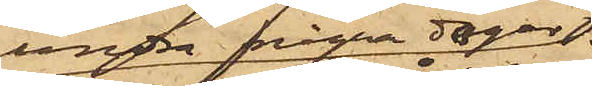under några dagar
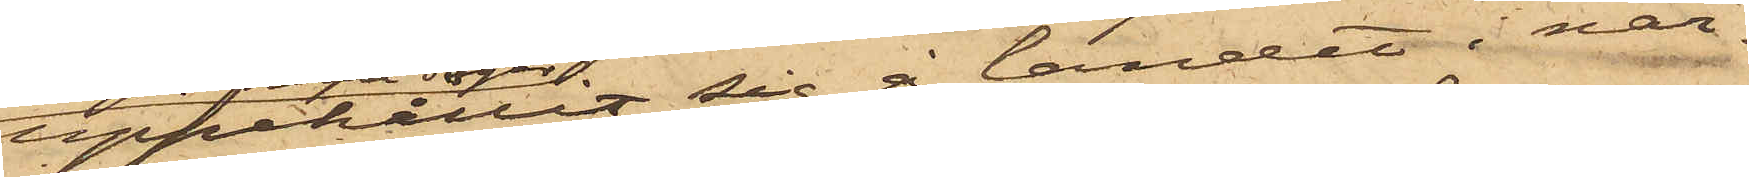uppehållit sig å landet i när¬
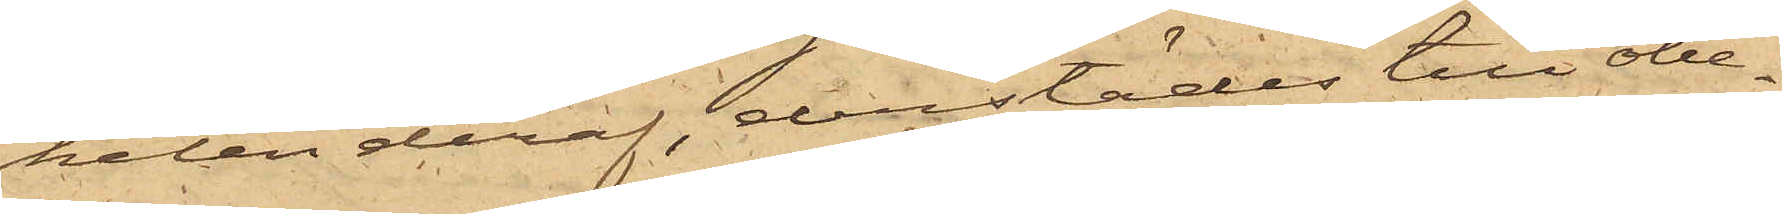heten deraf, derstädes till obe¬
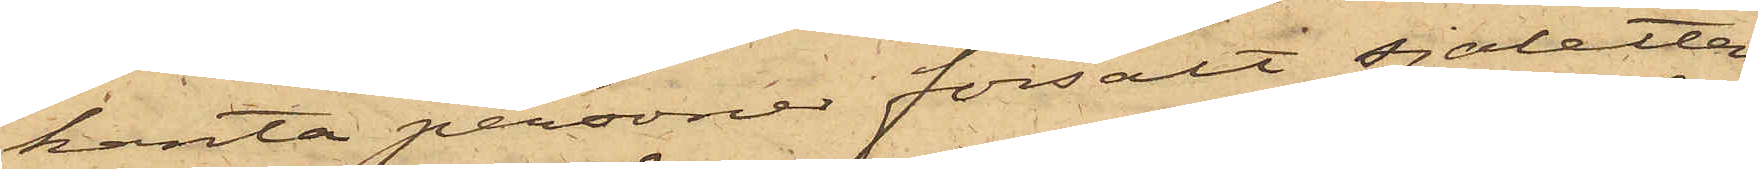kanta personer försålt sjaletten
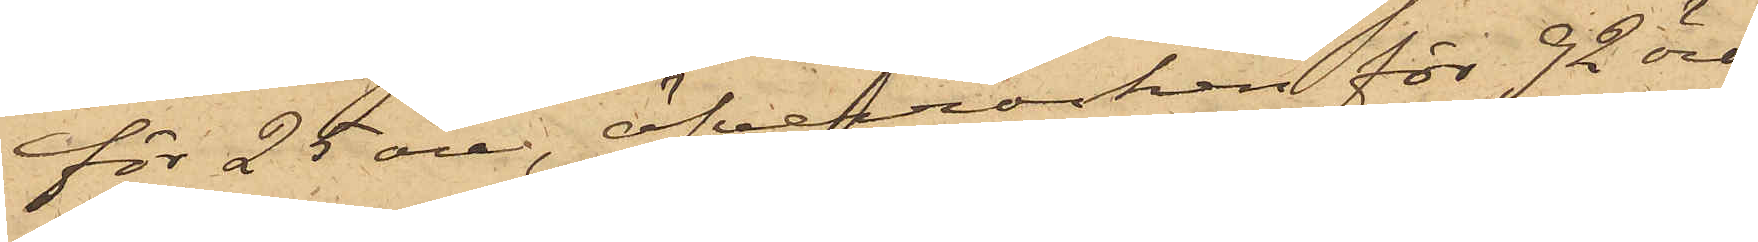för 25 öre, öfverrocken för 92 öre,
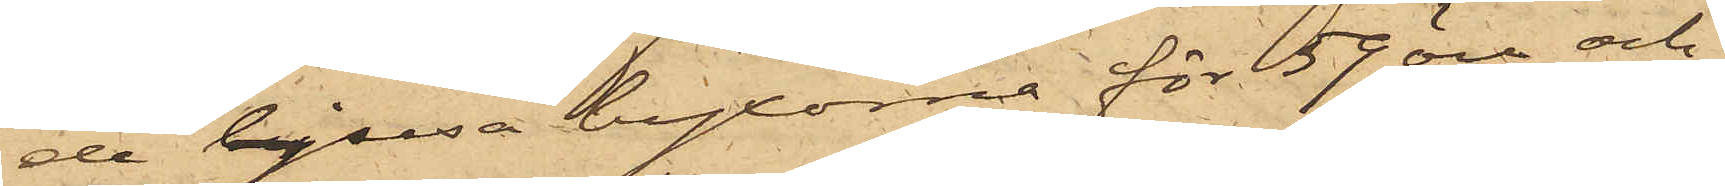de ljusa byxorna för 59 öre och
